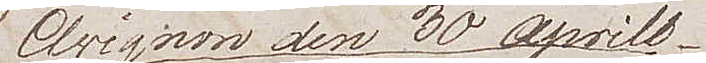Avignon den 30 Aprill
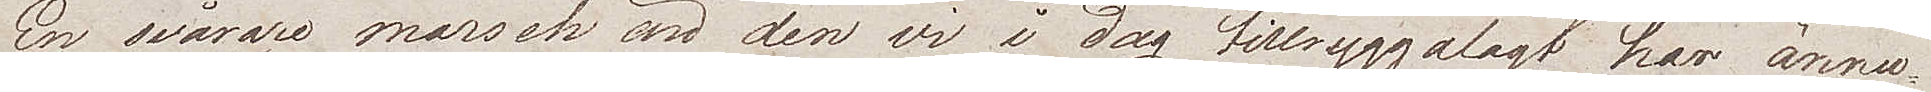En svårare marsch än den vi i dag tillryggalagt har ännu
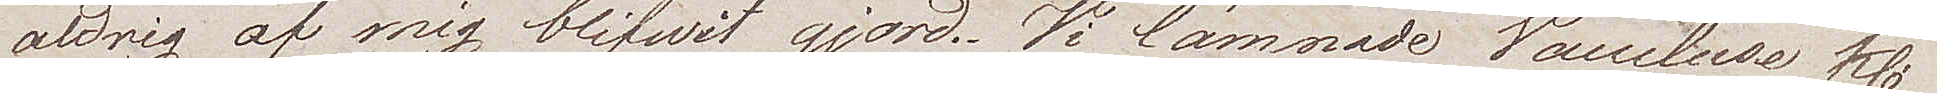aldrig af mig blifvit gjord. Vi lämnade Vaucluse kl.
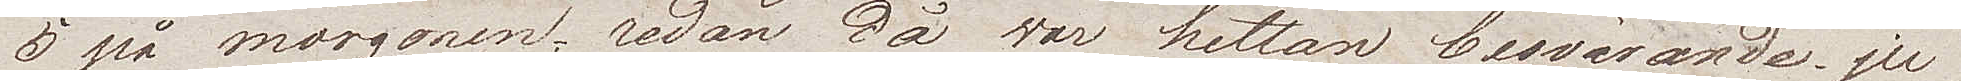5 på morgonen, redan då var hettan besvärande. ju
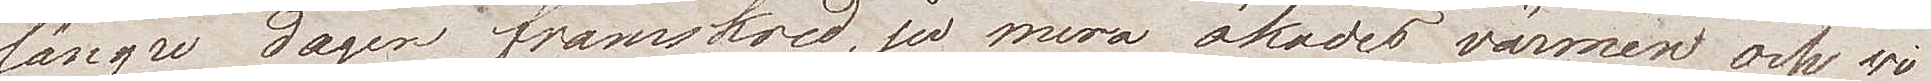längre dagen framskred, ju mera ökade värmen och vi
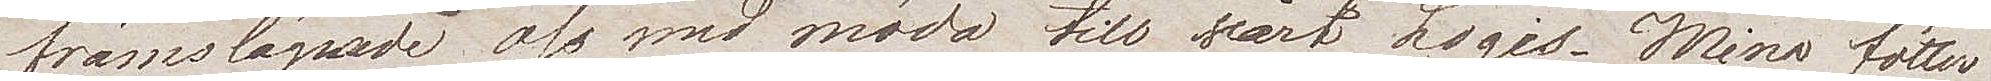framsläpade oss med möda till vårt Logis. Mina fötter
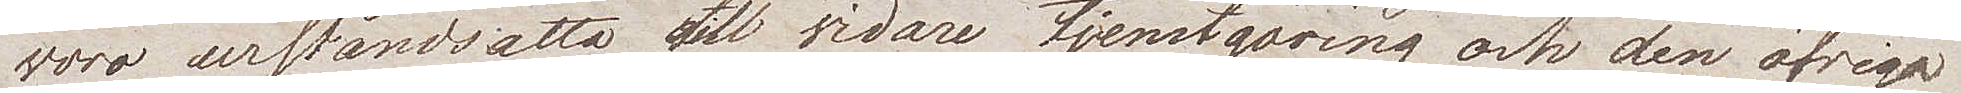voro urståndsatta all vidare tjenstgöring och den öfriga
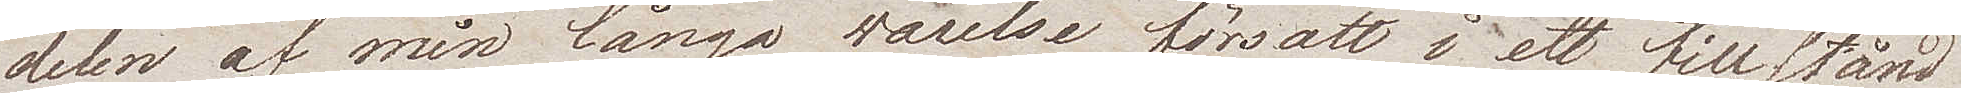delen av min långa varelse försatt i ett tillstånd
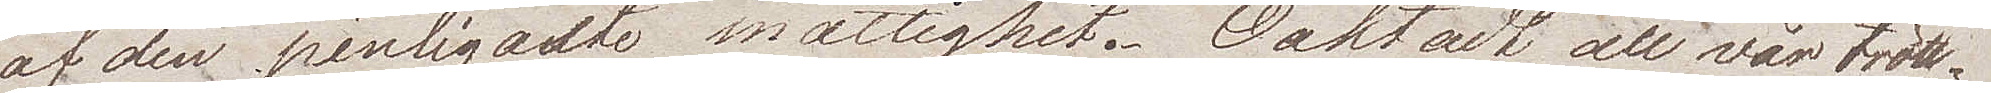av den pinligaste mattighet. Oaktadt all vår trött¬
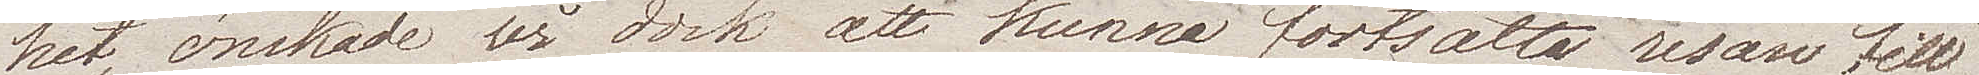het, önskade vi dock att kunna fortsätta resan till
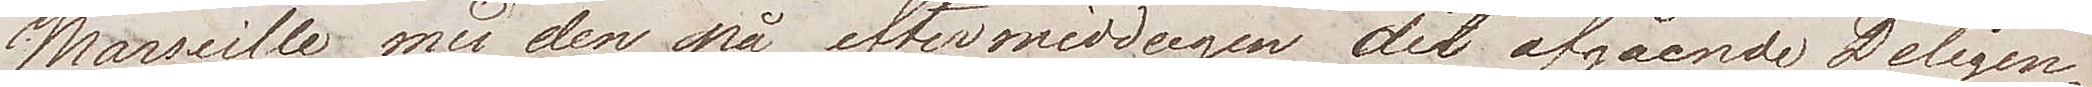Marseille med den på eftermiddagen dit afgående Diligen¬
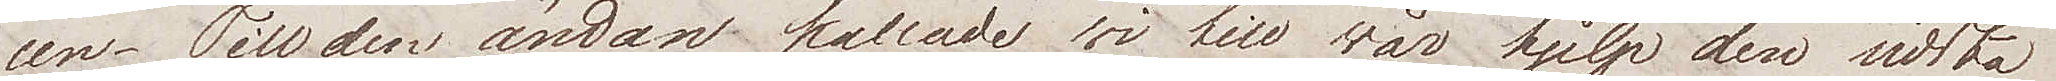cen. Till den ändan kallade vi till vår hjälp den sista
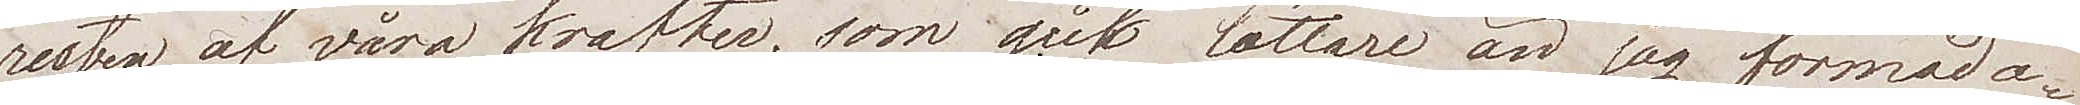resten av våra krafter, som gick lättare än jag förmoda¬
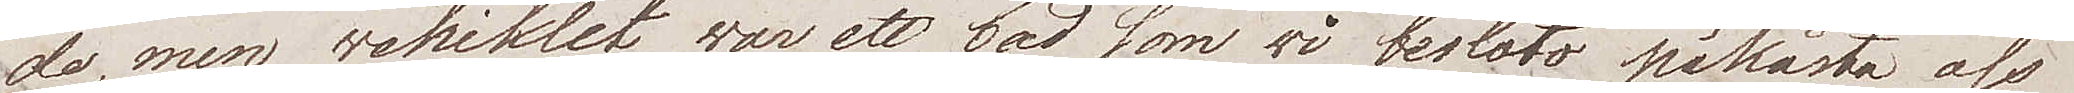de, men vehiklet var ett bad som vi beslöto påkåsta oss och
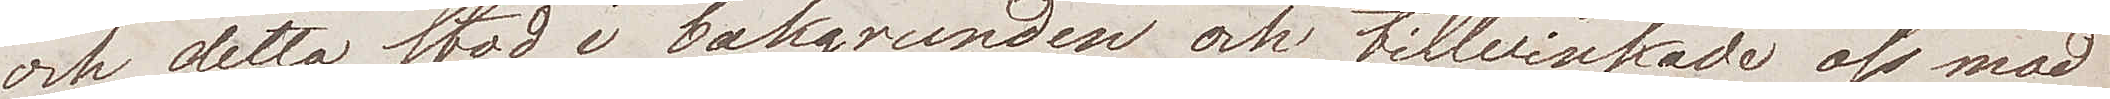detta stod i bakgrunden och tillvinkade oss med
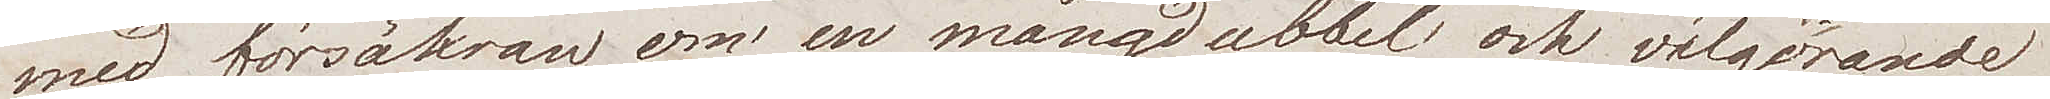försäkran om en mångdubbel och välgörande
